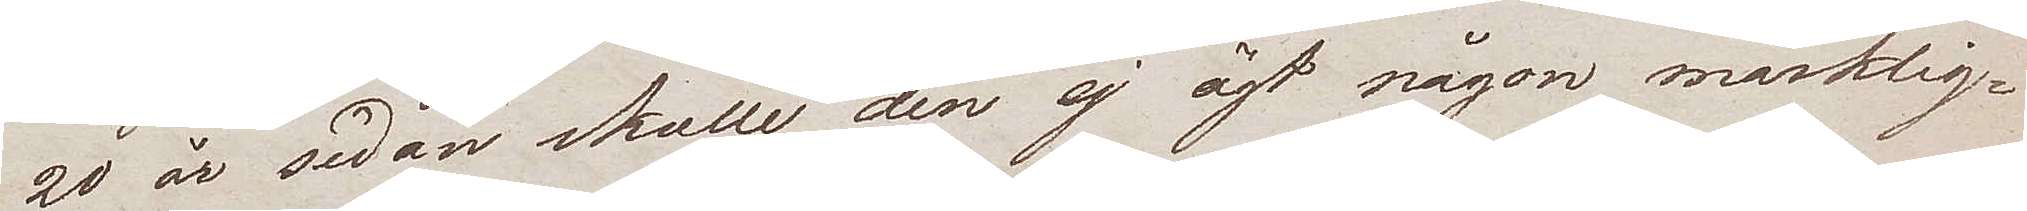20 år sedan skulle den ej ägt någon märklig¬
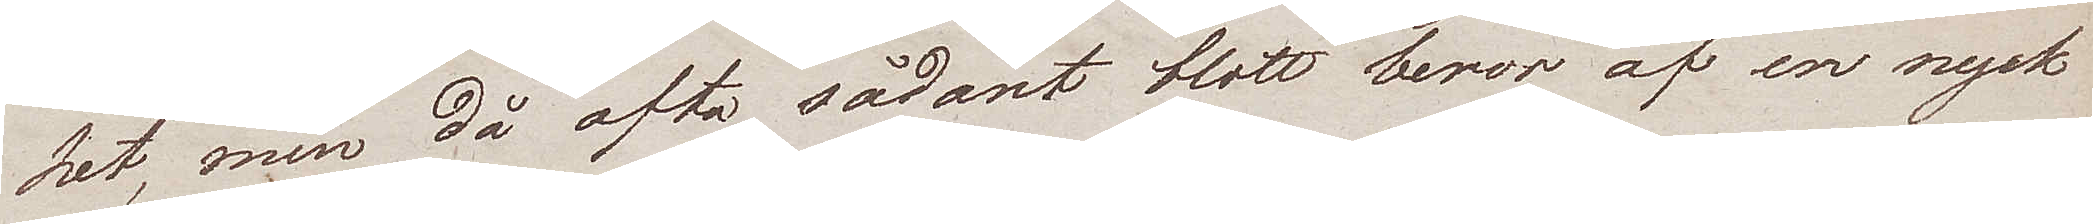het, men då ofta sådant blott beror af en nyck
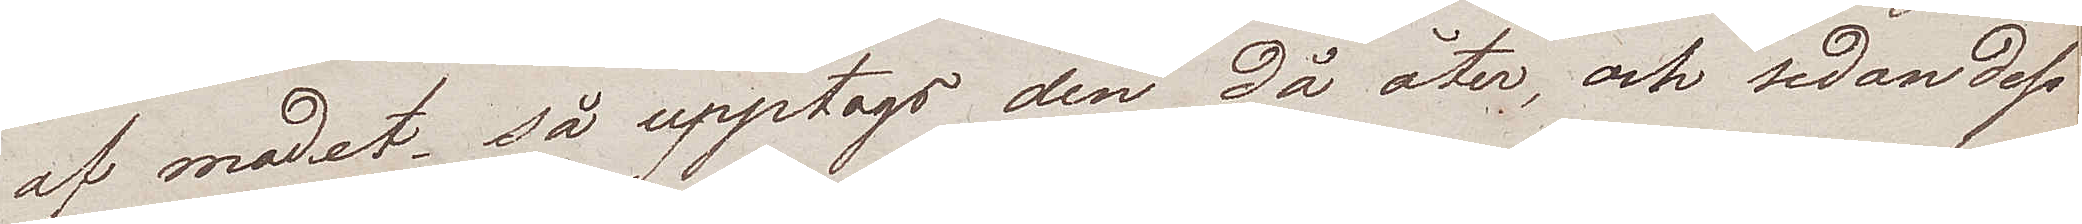af modet, så upptags den då åter, och sedan dess
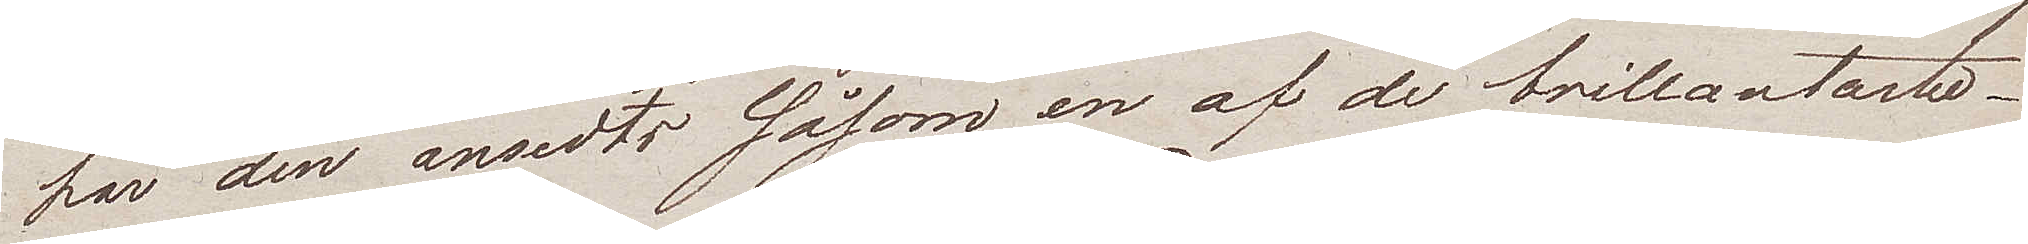har den ansedts såsom en af de brillantaste.
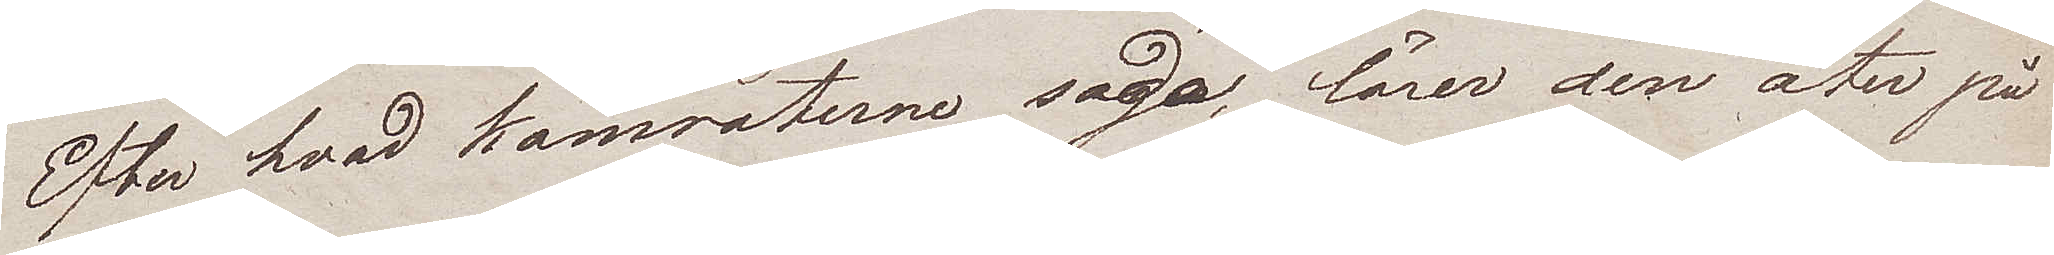Efter hvad kamraterne säga, lärer den åter på
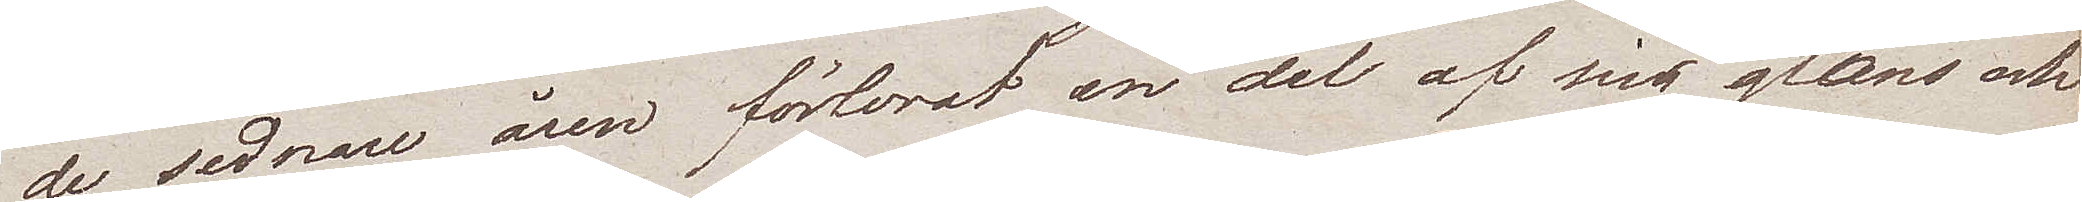de sednare åren förlorat en del af sin glans och
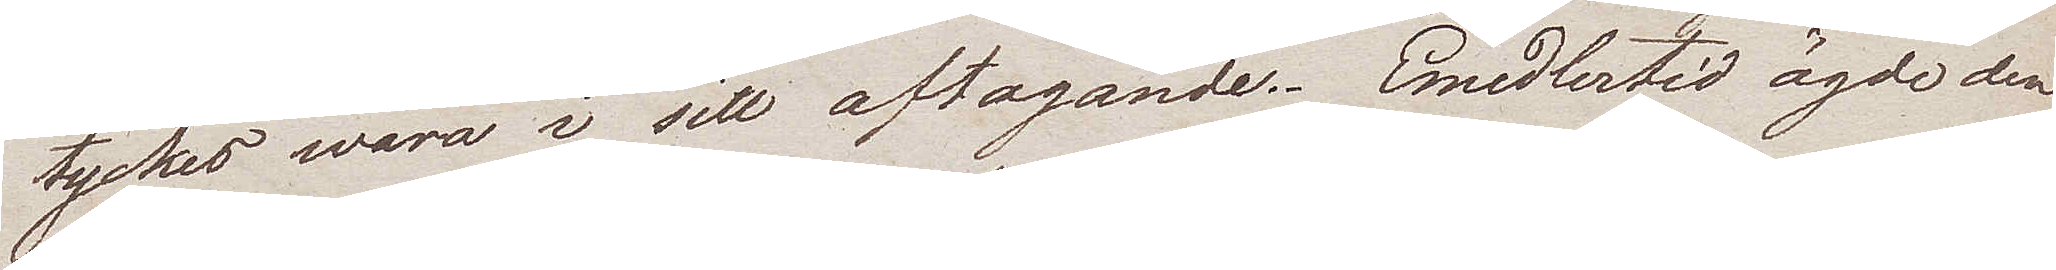tyckes wara i sitt aftagande. Emedlertid ägde den
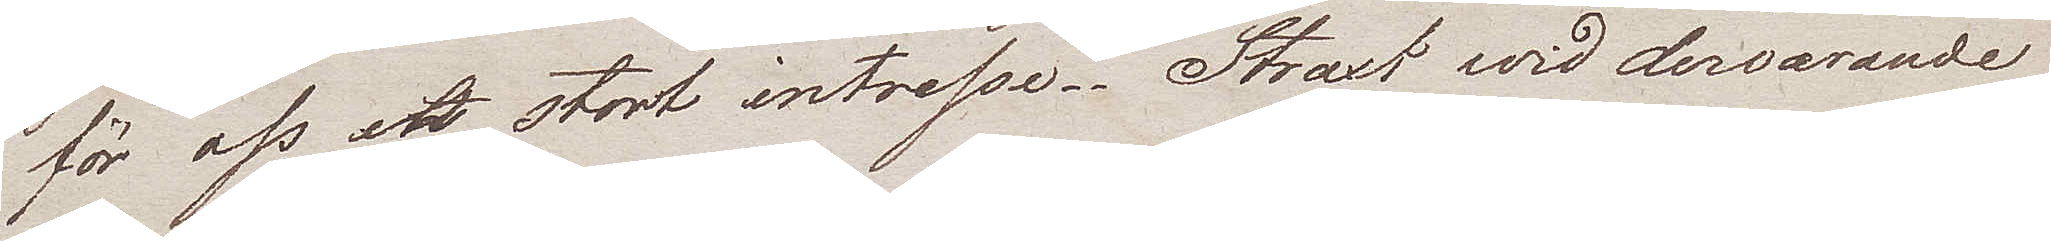för oss ett stort intresse. Straxt wid dervarande
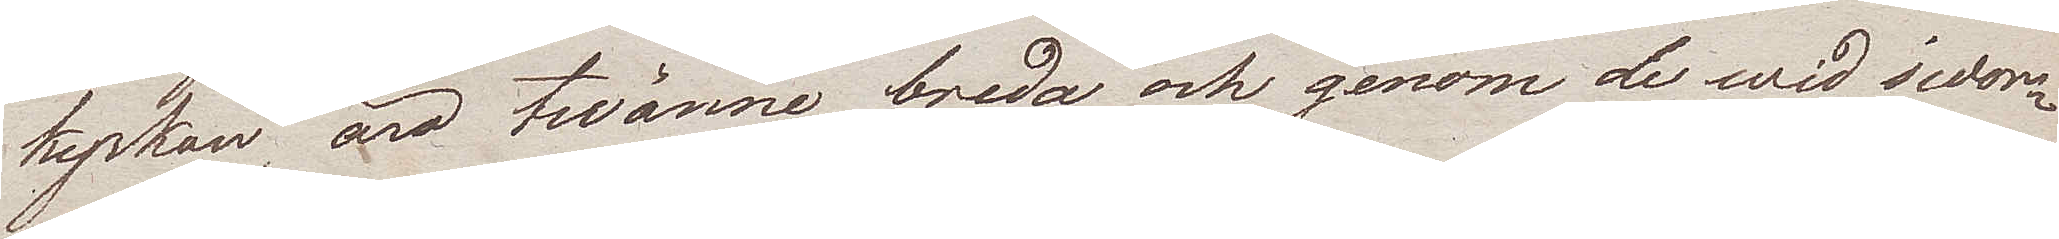kyrkan, äro twänne breda och genom de wid sidor¬
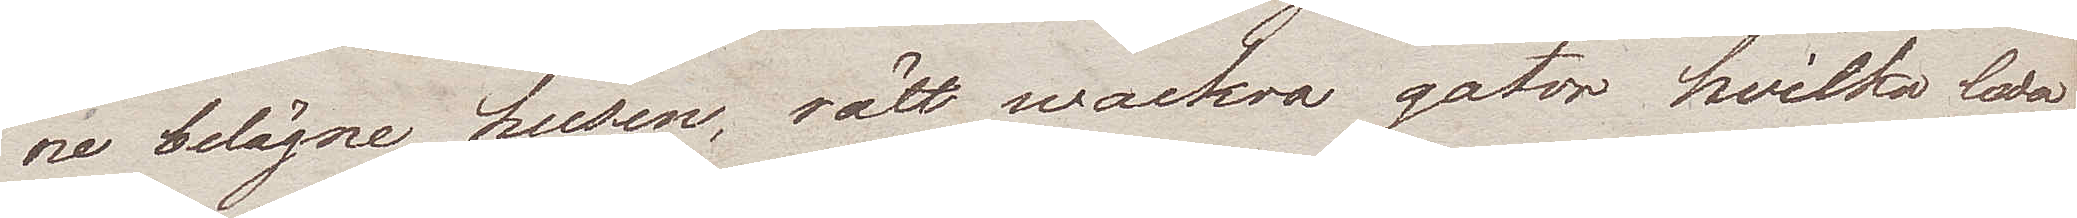ne belägna husen, rätt wackra gator hvilka leda
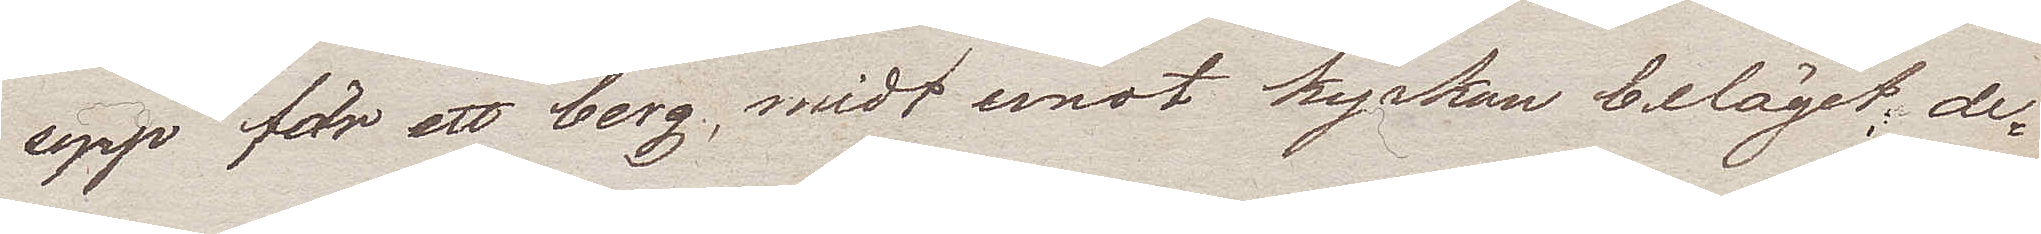upp för ett berg, midt emot kyrkan beläget, de
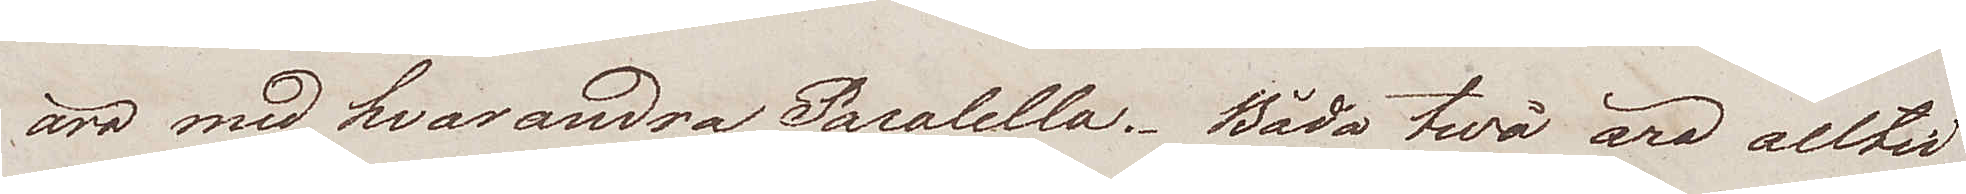äro med hvarandra Paralella. Båda twå äro alltid
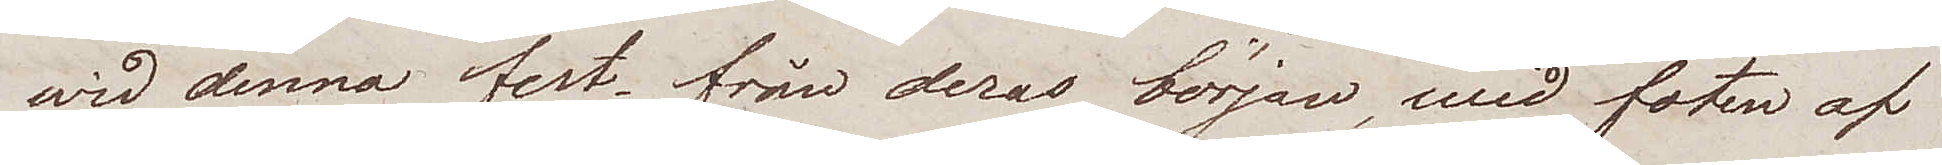wid denna fest, från deras början, wid foten af
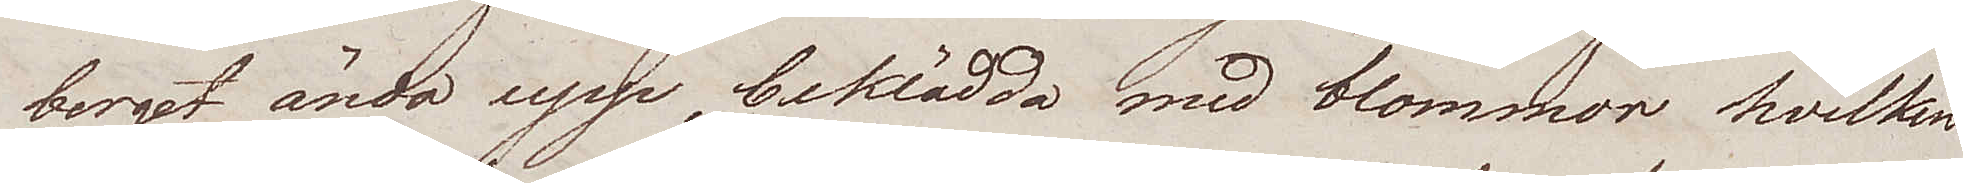berget ända upp, beklädda med blommor hvilken
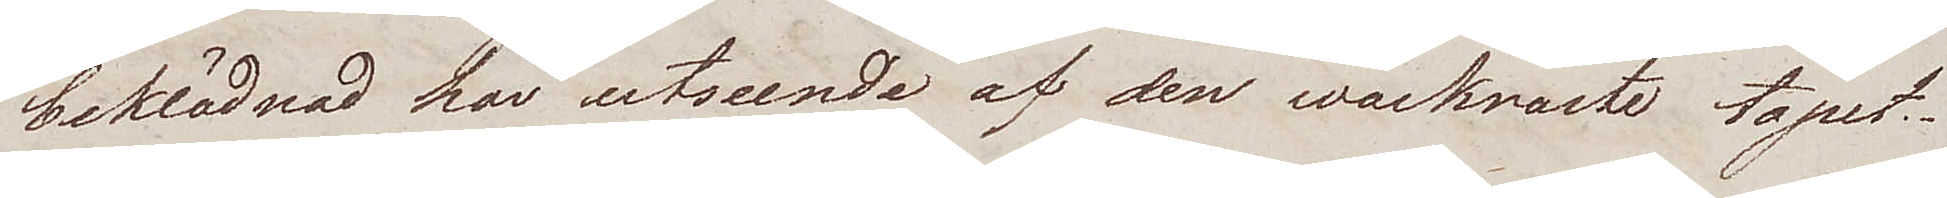beklädnad har utseende af den vackraste tapet.
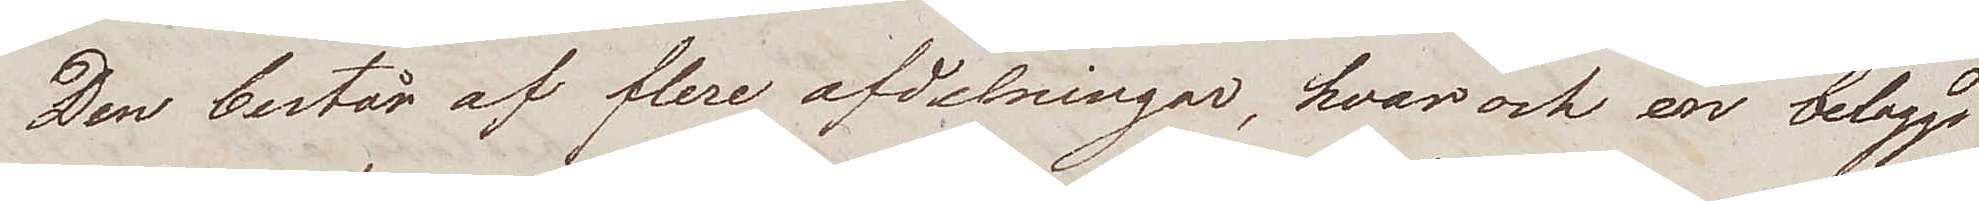Den består af flere afdelningar, hvar och en beläggs
